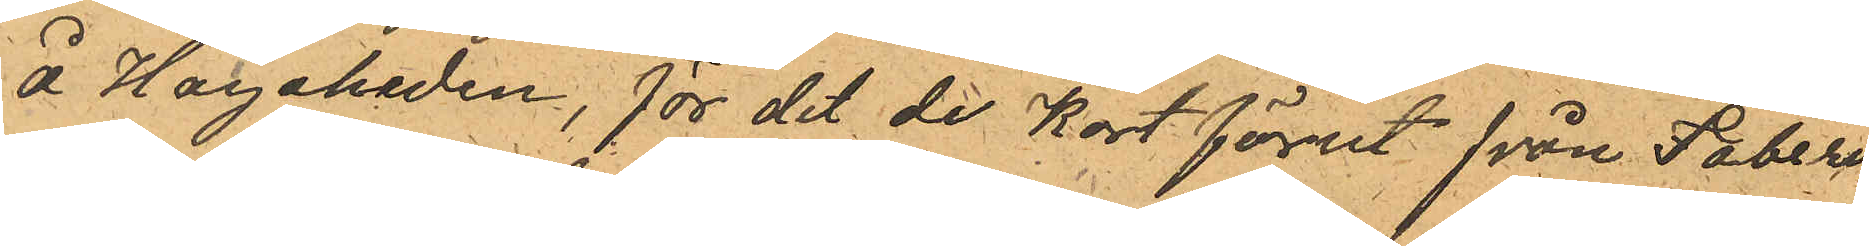å Hagaheden, för det de kort förut från Faberi¬
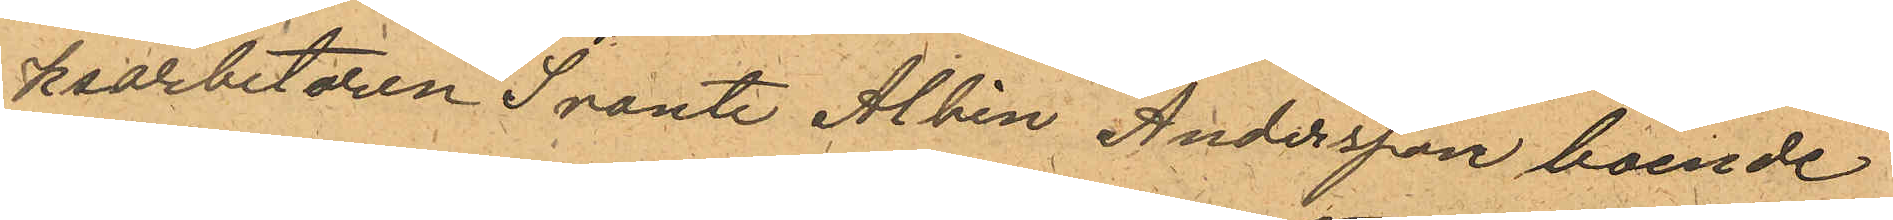ksarbetaren Svante Albin Andersson boende
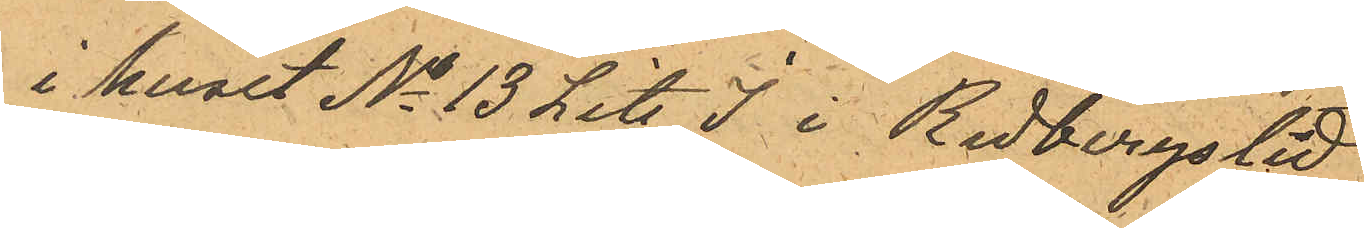i huset No 13 Lit. J i Redbergslid
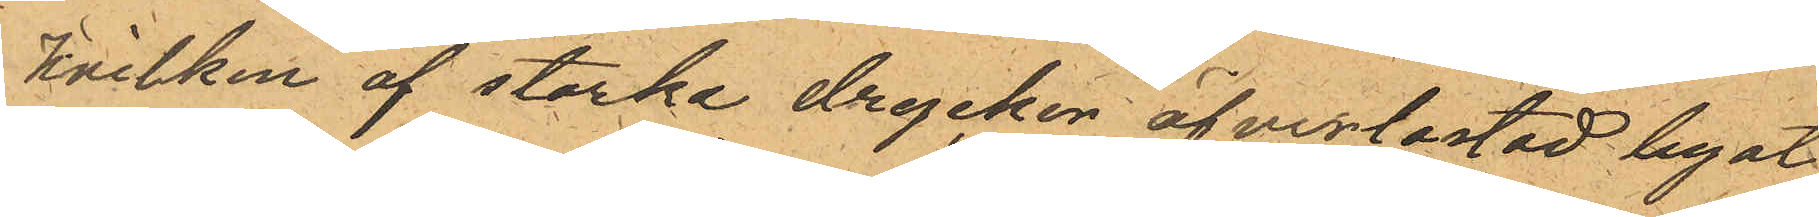hvilken af starke drycker öfverlastad legat
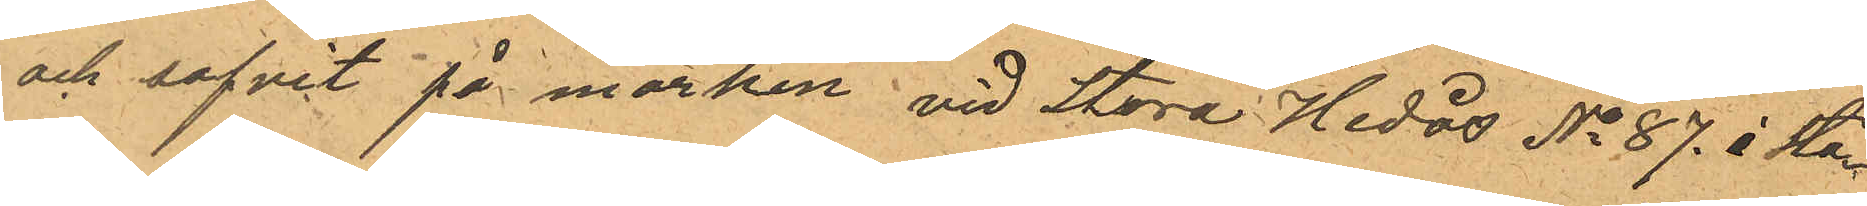och sofvit på märken vid Stora Hedås No 87. å Sta¬
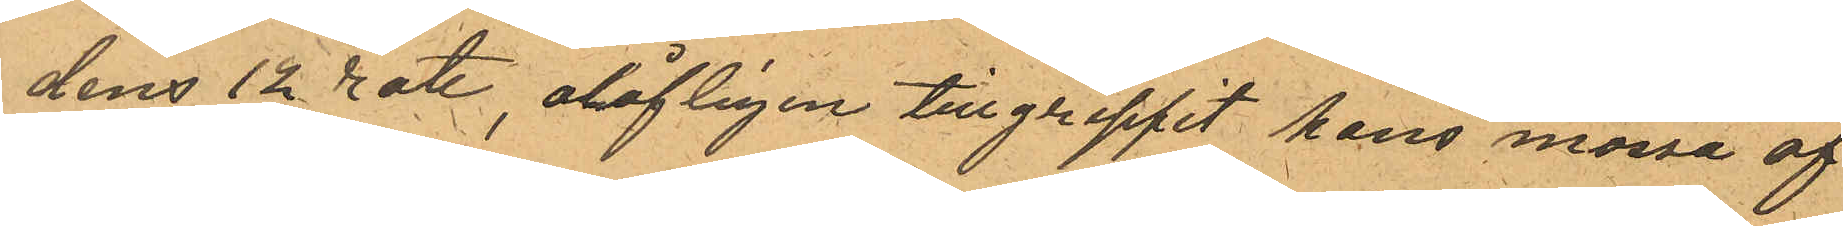dens 12 rote, olofligen tillgrippit hans mössa af
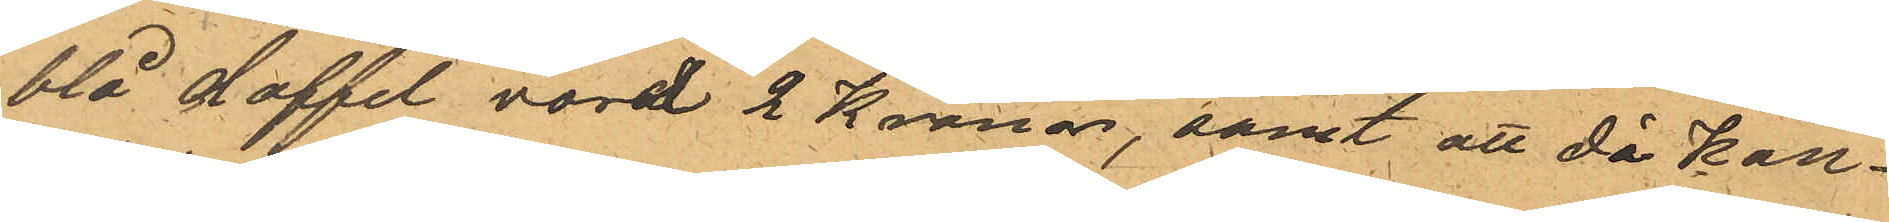blå doffel vard 2 Kronor, samt att då kon¬
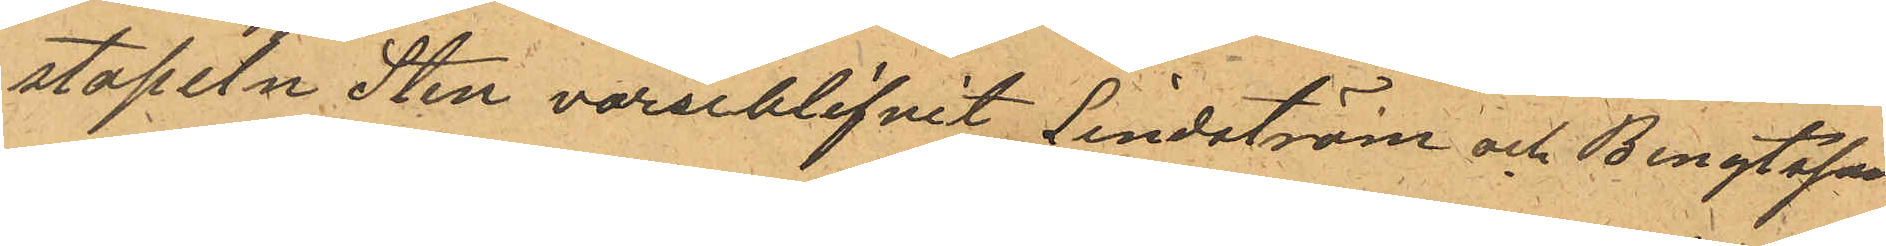stapeln Sten varseblifvit Lindström och Bengtsson
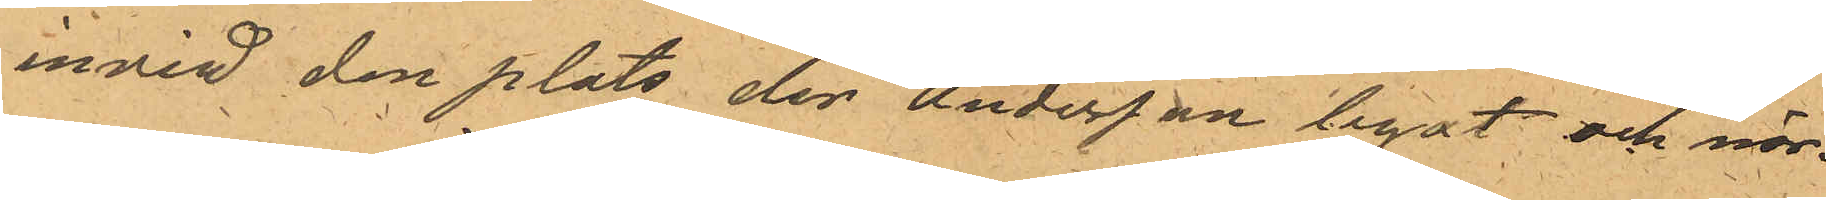invid den plats den Andersson legat och när¬
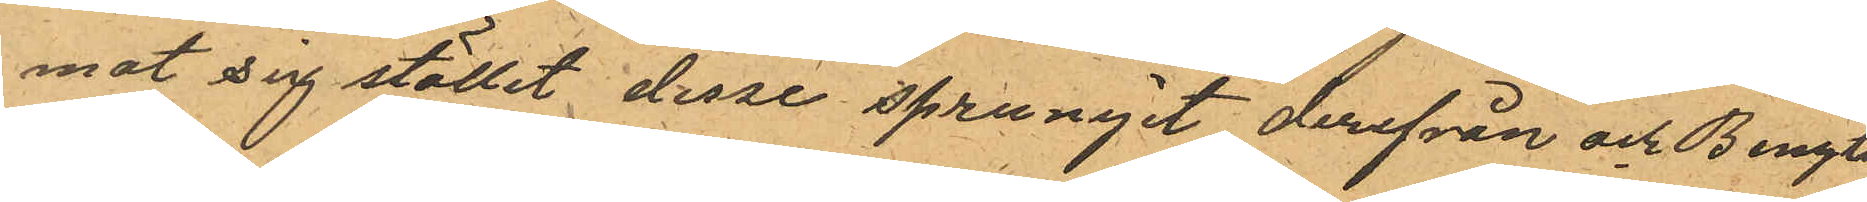mat sig stället desse sprungit derifrån och Bengts¬
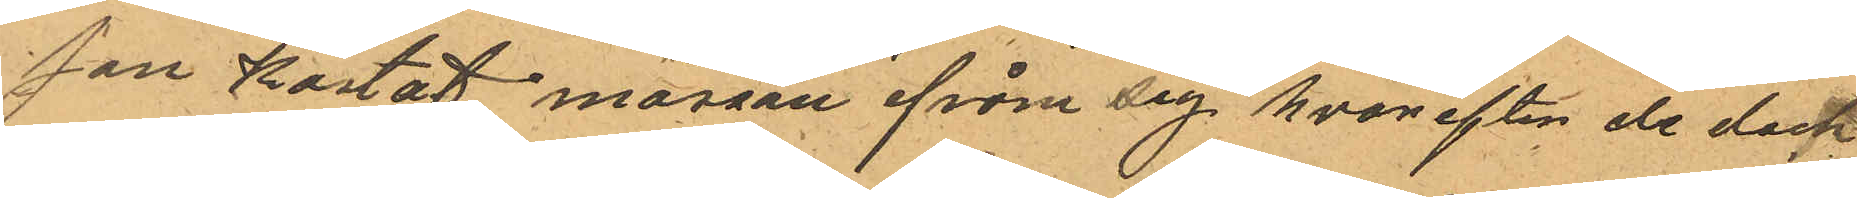son kastat mössan ifrån sig hvar efter de dock
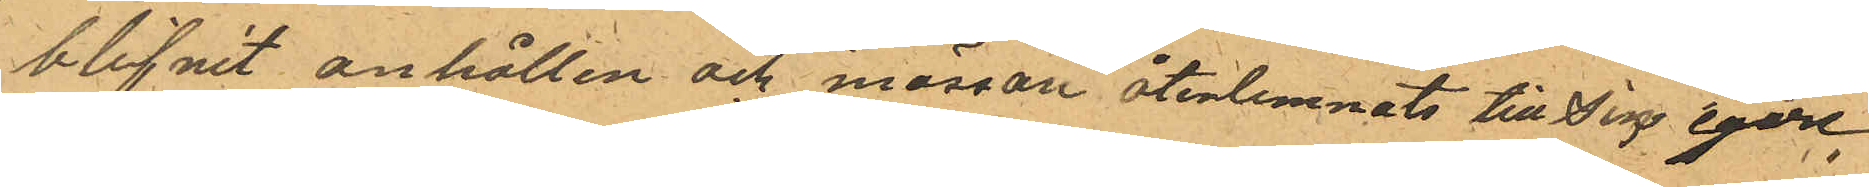blifvit anhållen och mössan återlemnats till sin egare.
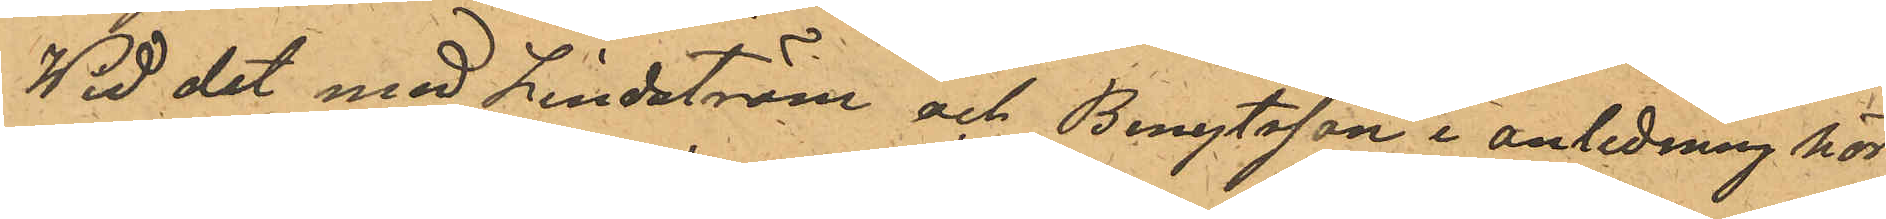Wid det med Lindström och Bengtsson i anledning hör¬
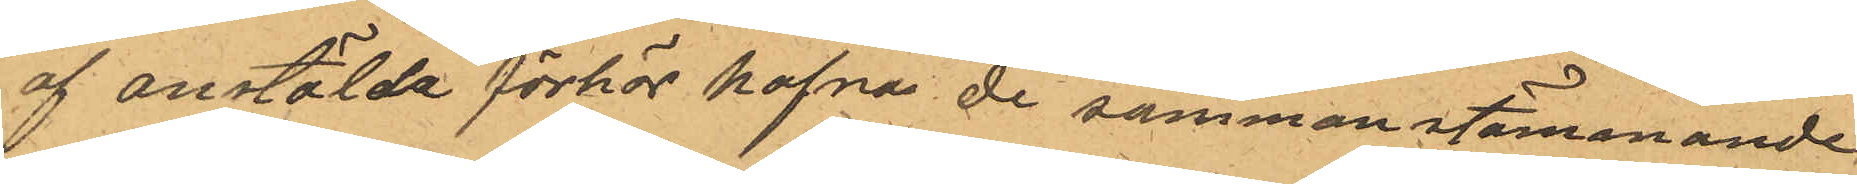af anstälda förhör hafva de sammanstämmande
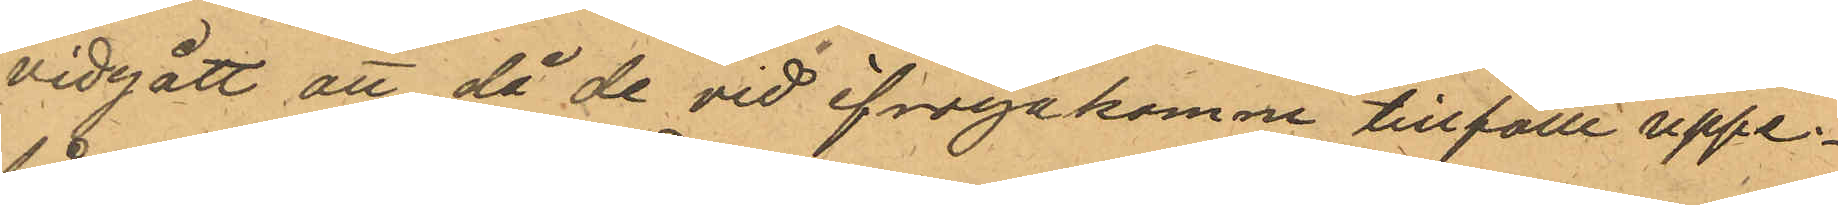vidgått att då de vid ifrågakomne tillfälle uppe¬
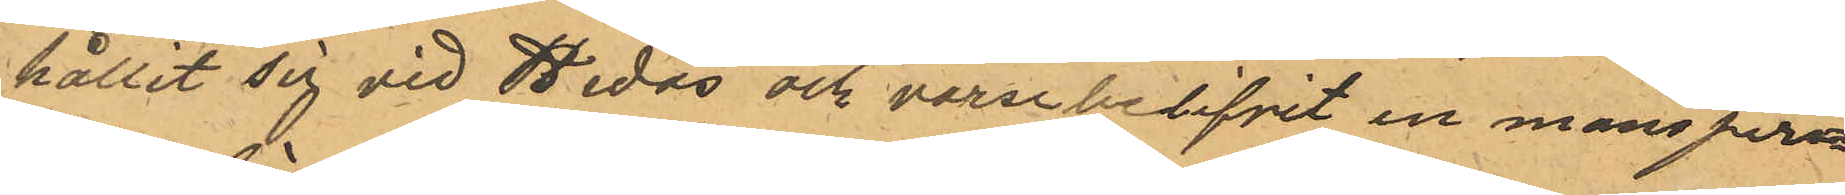hållit sig vid Hedås och varsebelifvit en mansper¬
